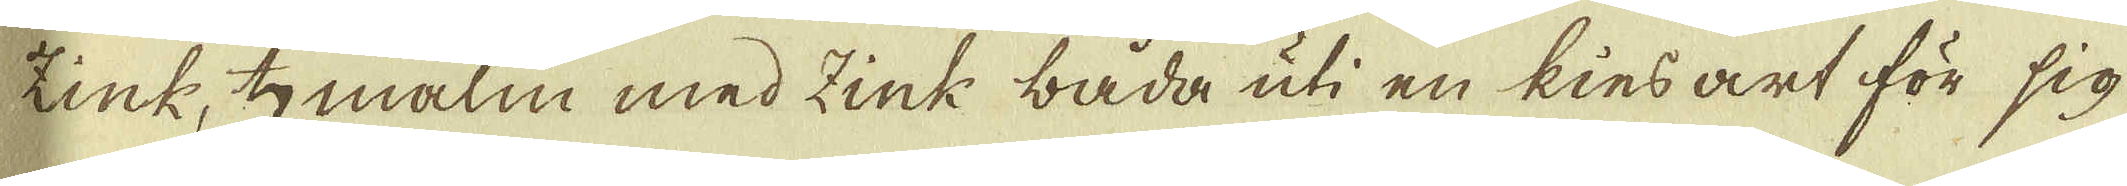Zink, ♄ malm med Zink båda uti en kins art för sig
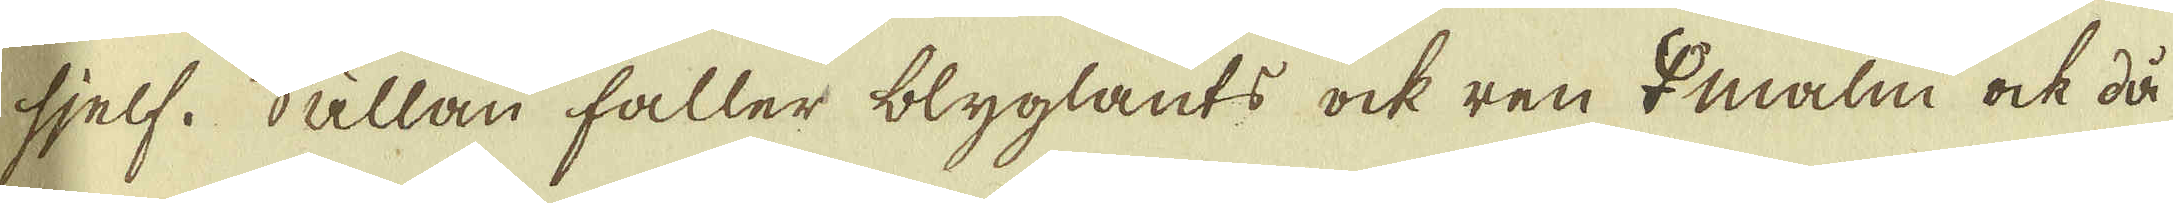sjelf. Sällan håller blyglants ock ren ♀ malm ock då
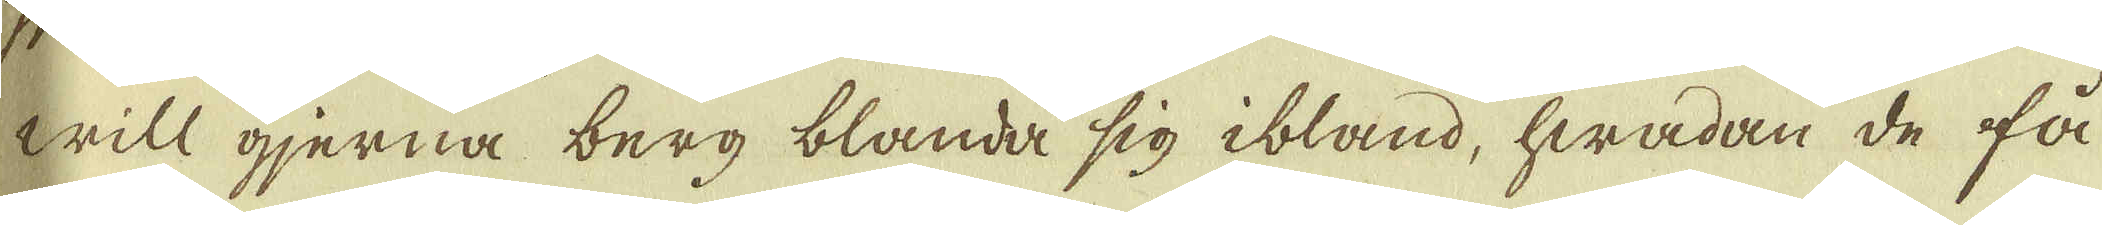will gjerna berg blande sig ibland, hwadan de få
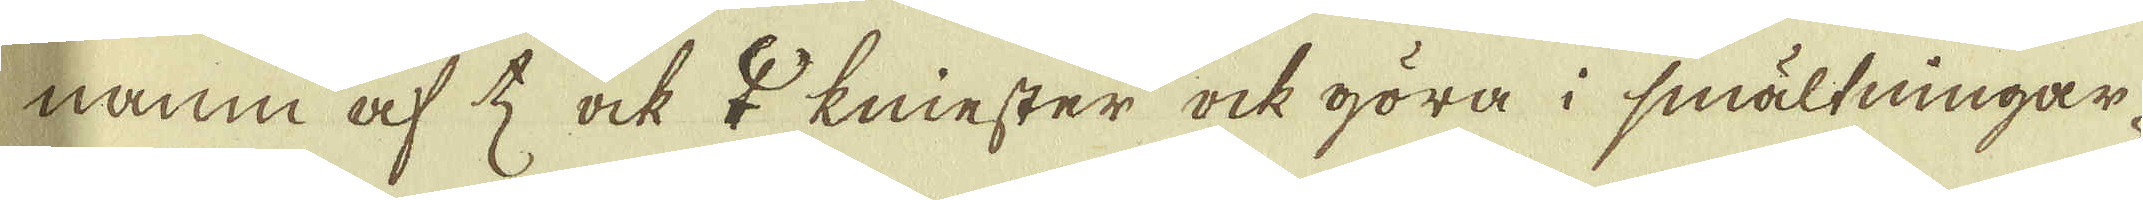namn af ♄ ock ♀ kniester ock göra i smältningar-
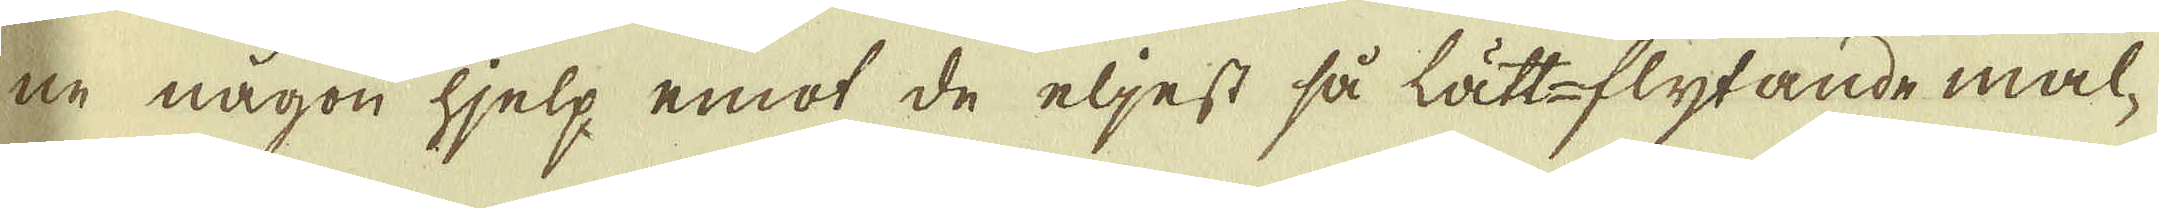ne någon hjelp emot de eljest så lättflytande mal-
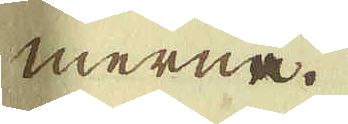merne.
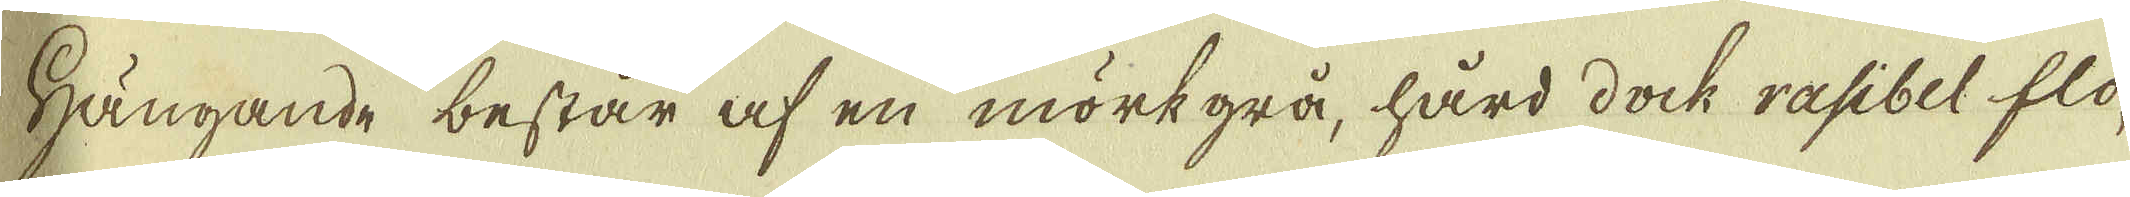Hängande består af en mörkgrå, hård dock rasibel flo-
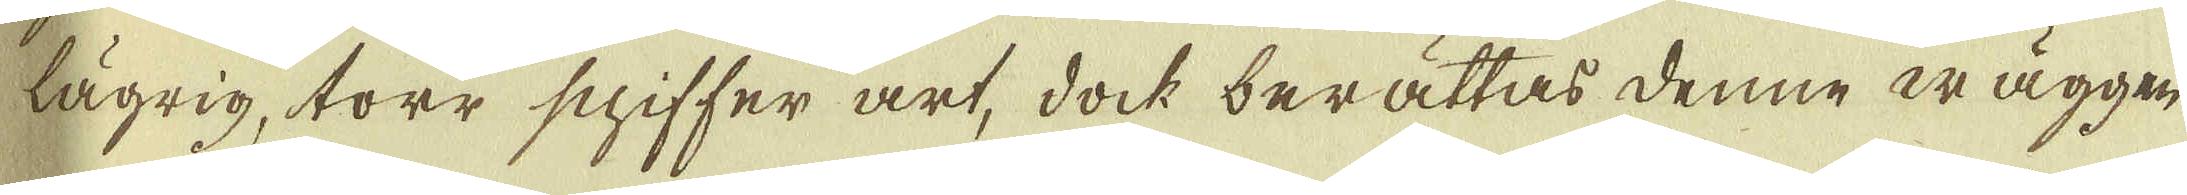lägrig, torr schiffer är, doch berättas denne wäggen
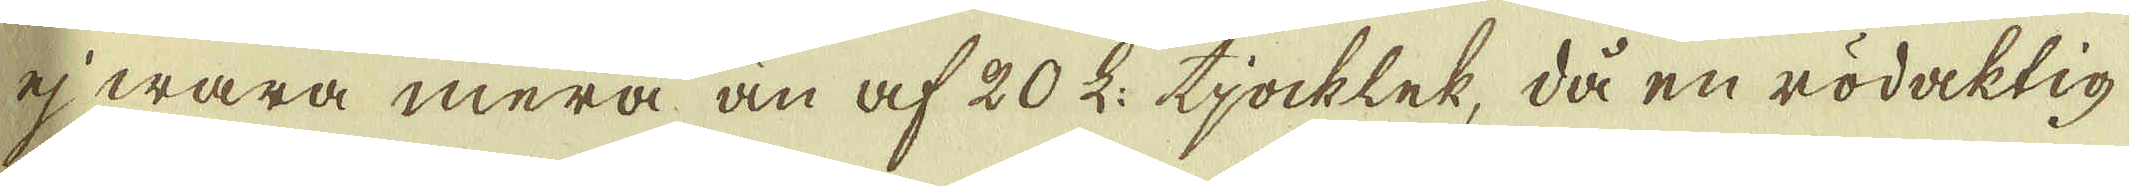ej wara mera än af 20 L: tjocklek då en rödaktig
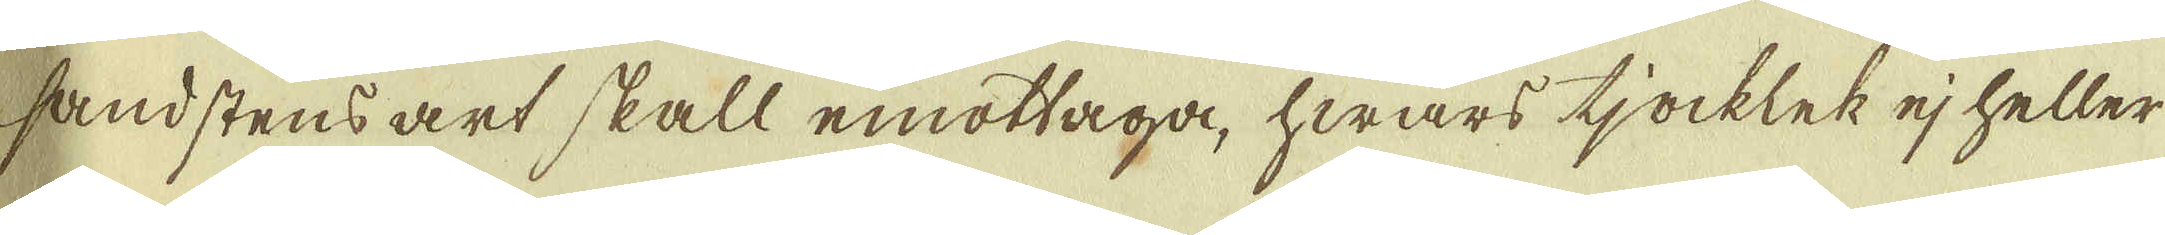sandstensart skall emottaga, hwars tjocklek ej heller
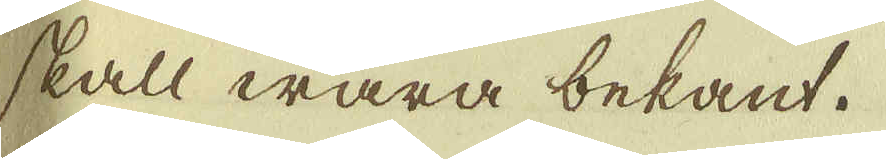skall wara bekant.
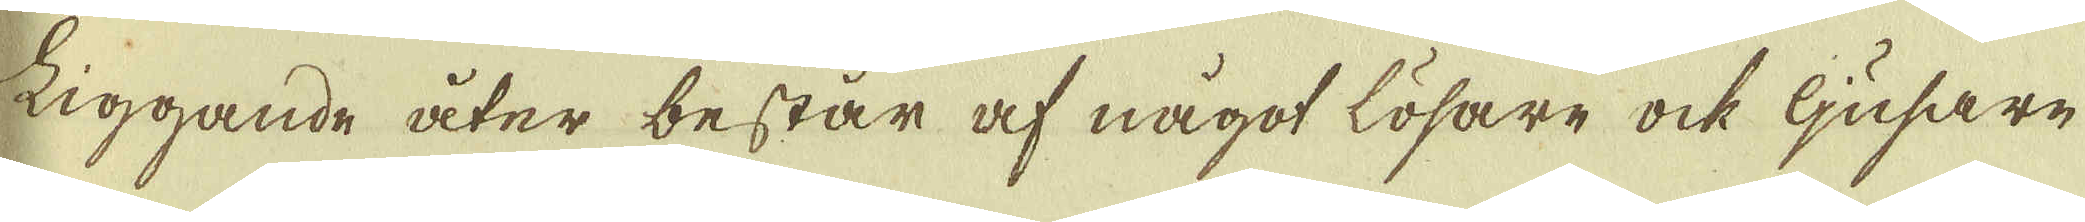Liggande åter består af något lösare ock Gröfre
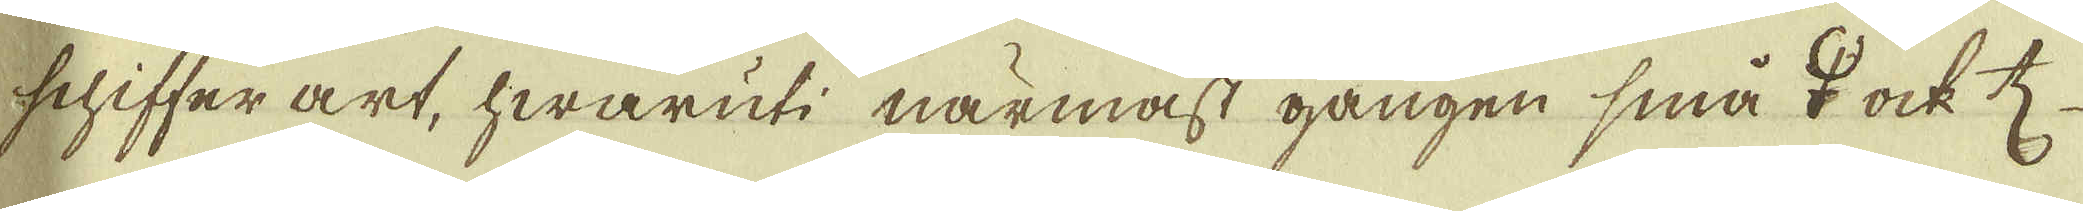schiffer art, hwaruti närmast gången små ♀ ock ♄
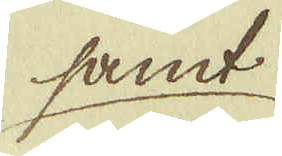samt
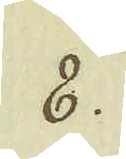8.
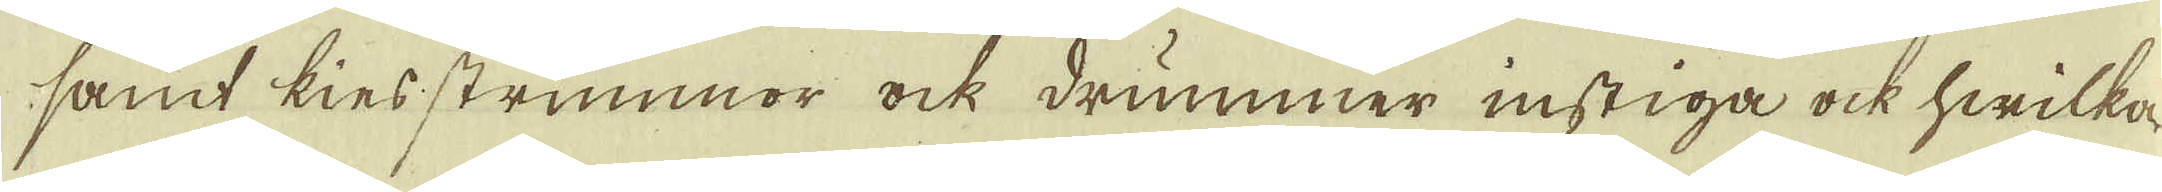samt kinsstrimmor ock drummer instiga ock hwilka
